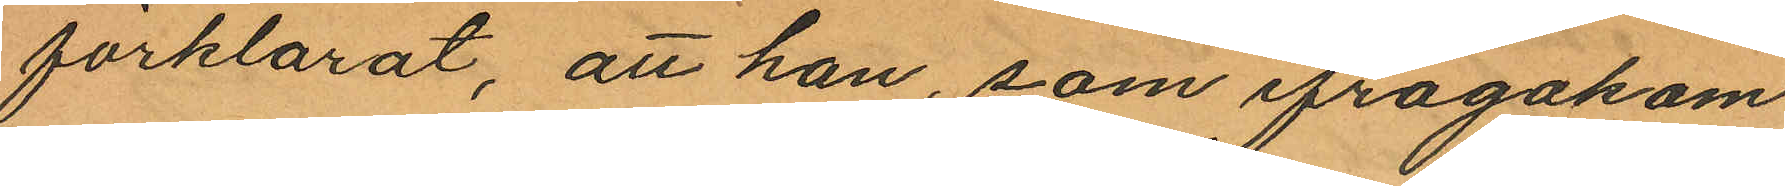förklarat, att han, som ifrågakom¬
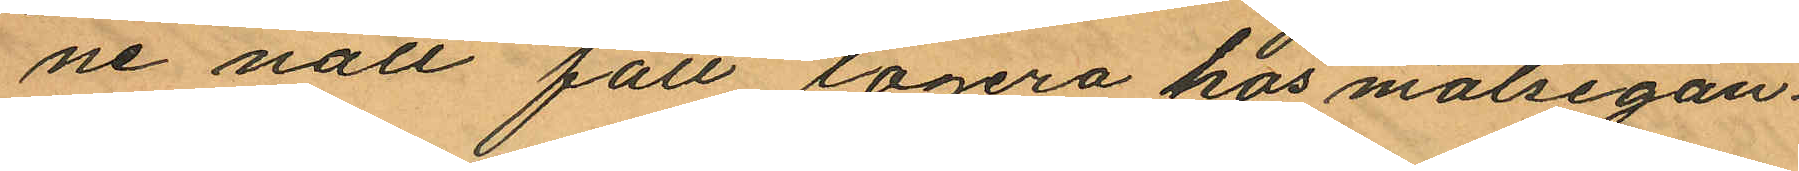ne natt fått logera hos målsegan¬
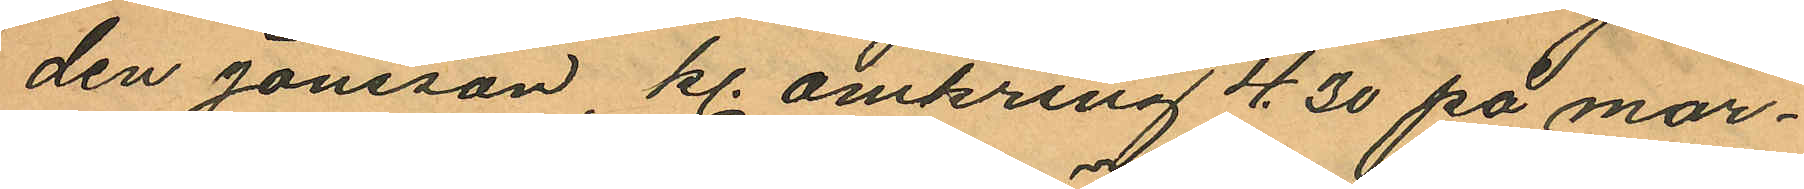den Jonsson kl. omkring 4.30 på mor¬
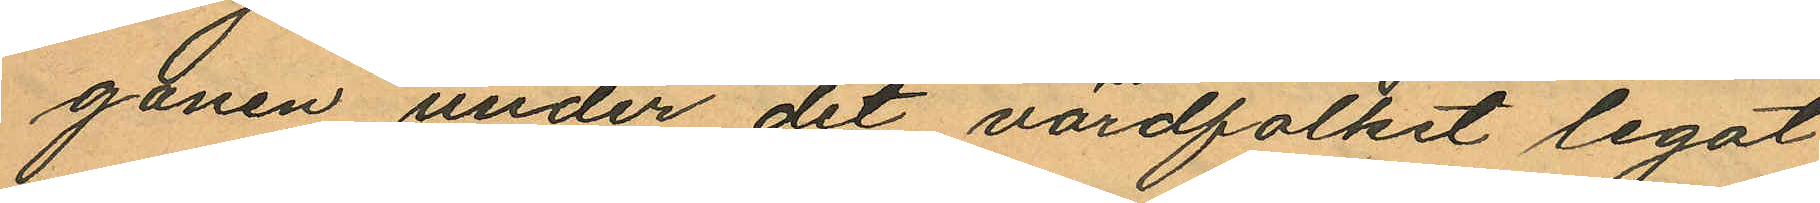gonen under det värdfolket legat
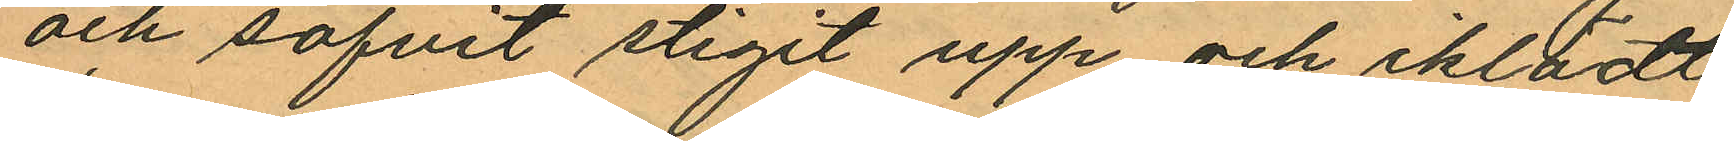och sofvit stigit upp och iklädt
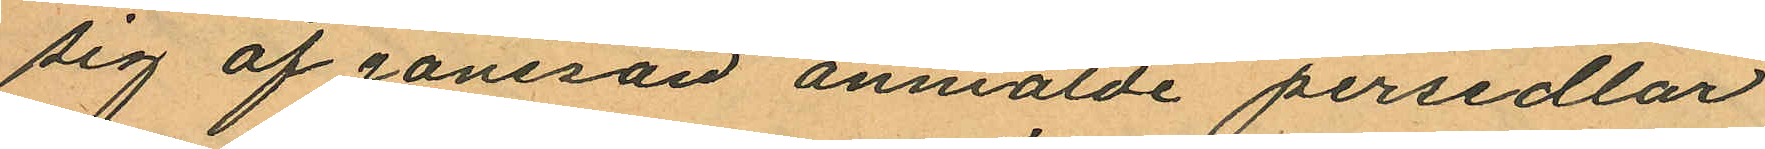sig af Jonsson anmälde persedlar
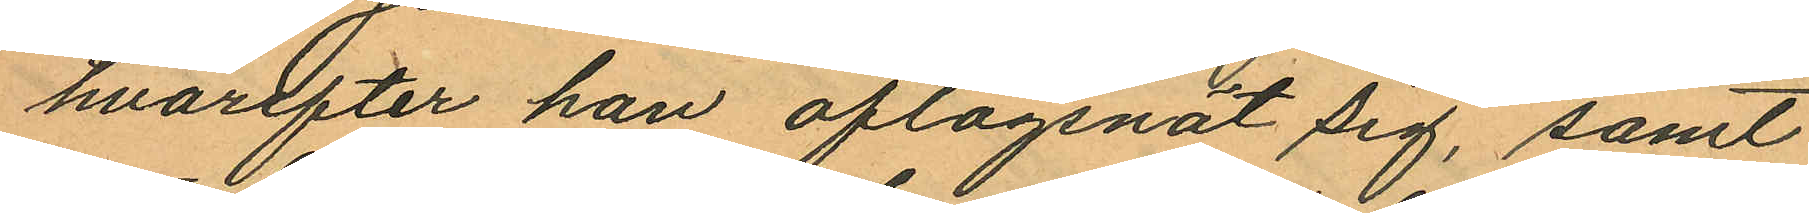hvarefter han aflägsnat sig, samt
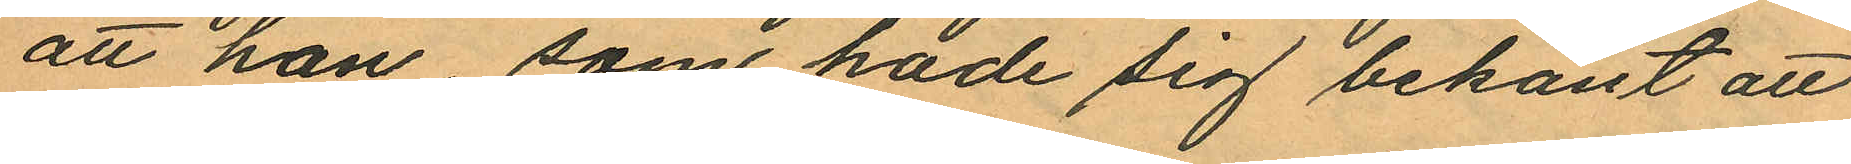att han, som hade sig bekant att
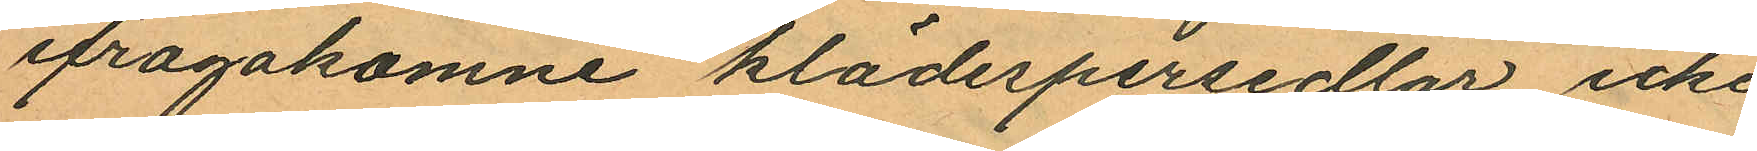ifrågakomne klädespersedlar icke
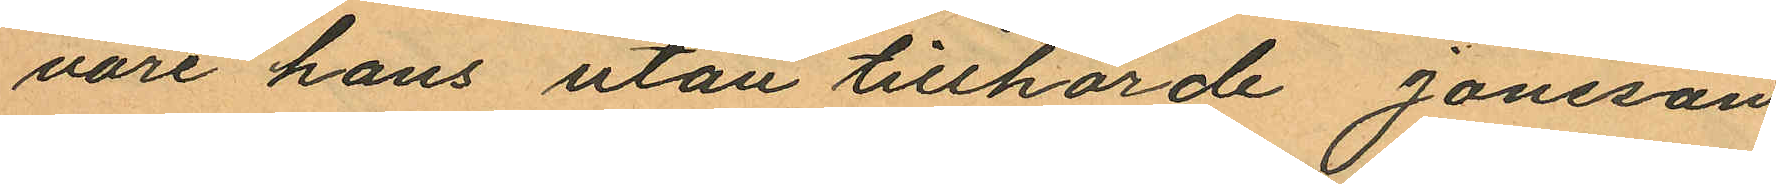vore hans utan tillhörde Jonsson
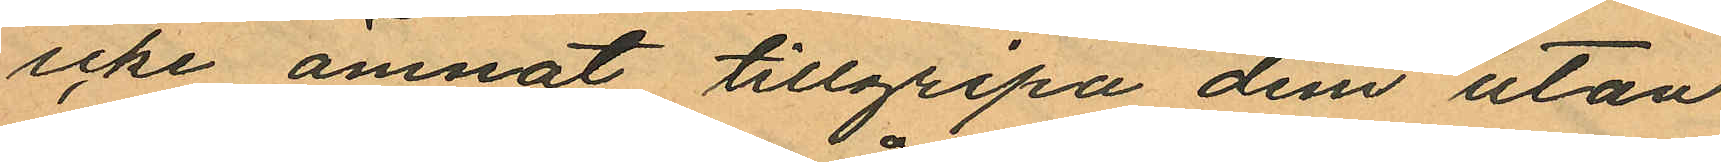icke ämnat tillgripa dem utan
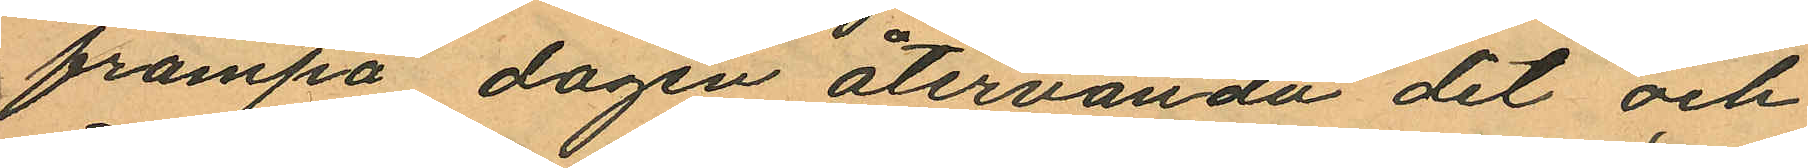frampå dagen återvända dit och
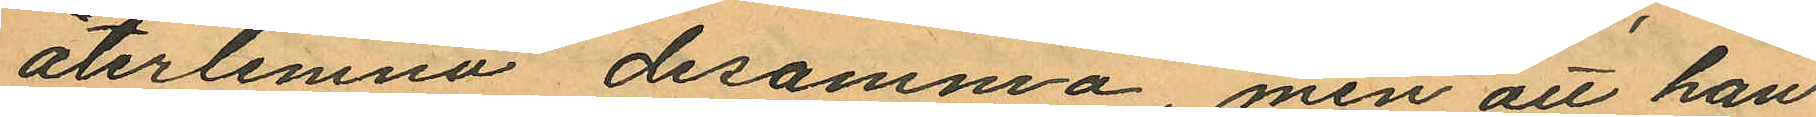återlemna desamma, men att han
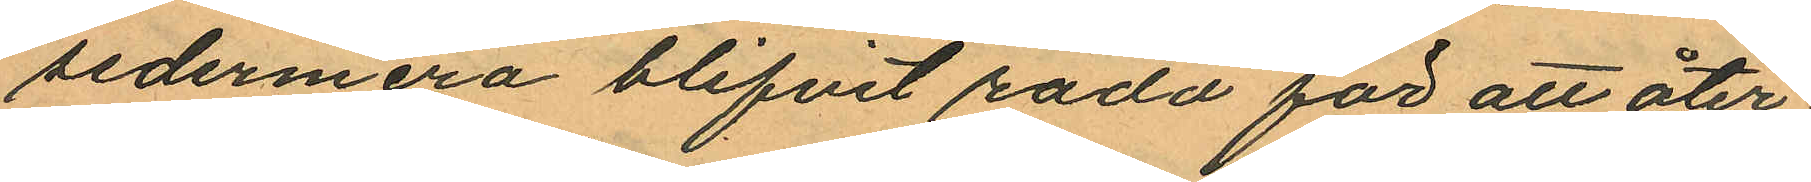sedermera blifvit rädd för att åter¬
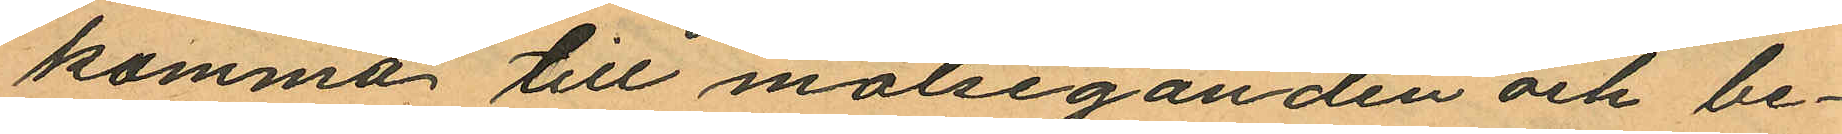komma till målseganden och be¬
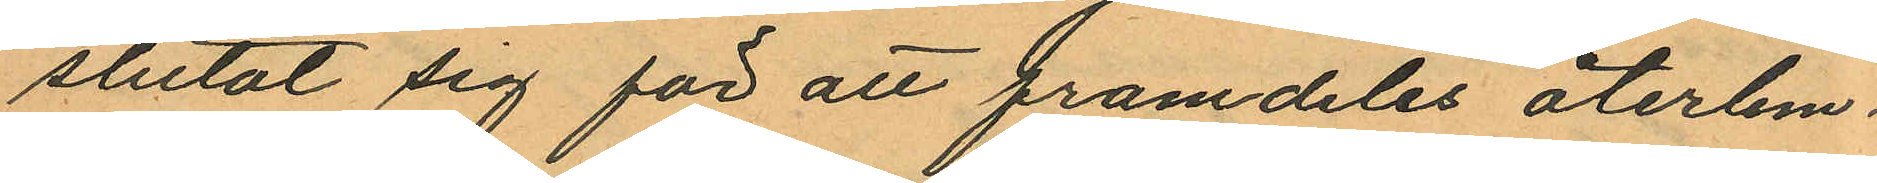slutat sig för att framdeles återlem¬
